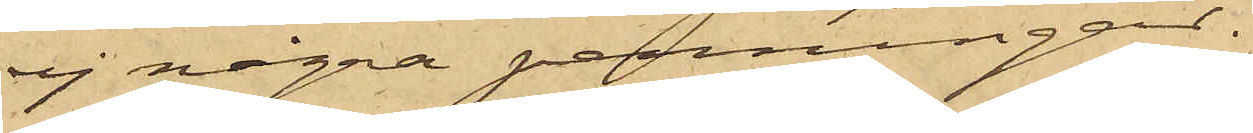ej några penningar.
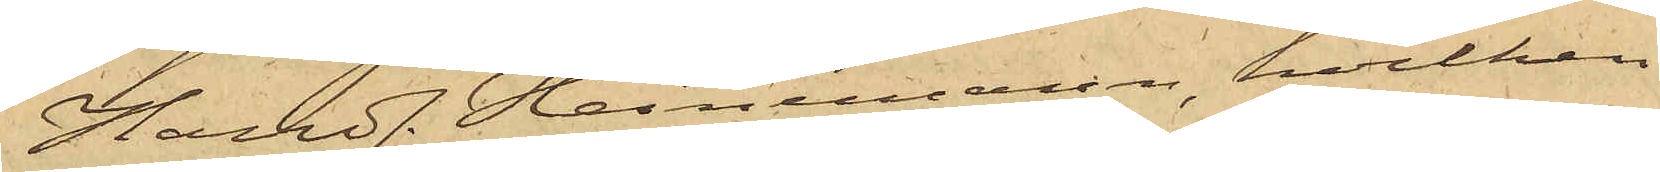Handl. Heinemann, hvilken
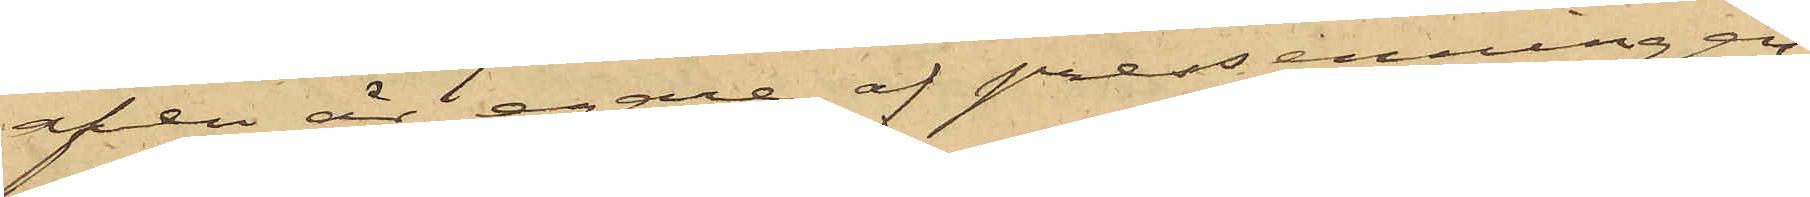äfven är egare af pressenningen;
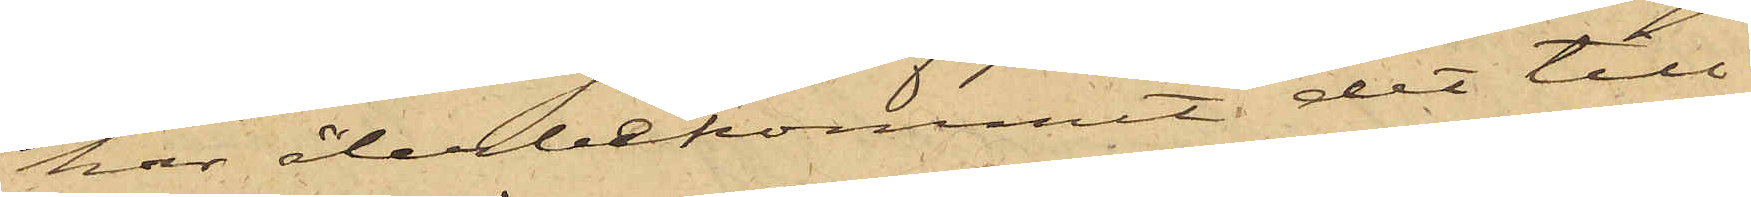har återbekommit det till¬
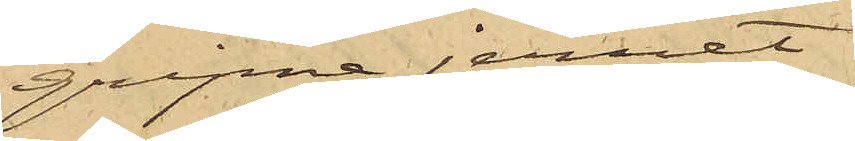gripne jernet
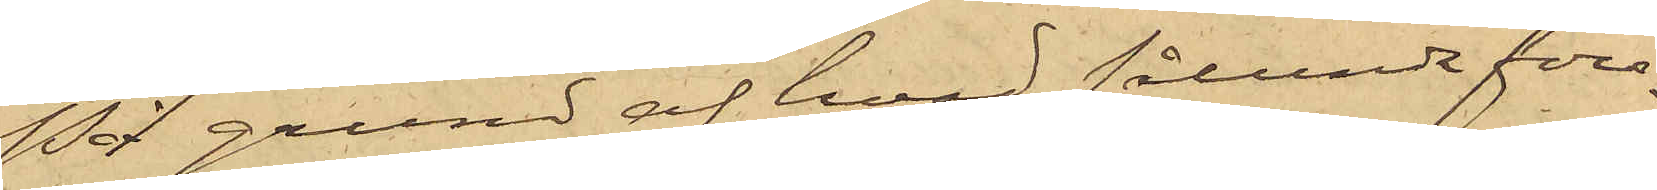På grund af hvad sålunda före¬
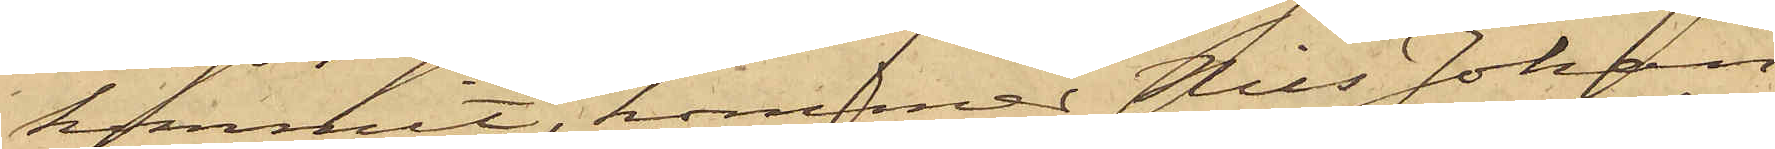kommit, kommer Nils Johan
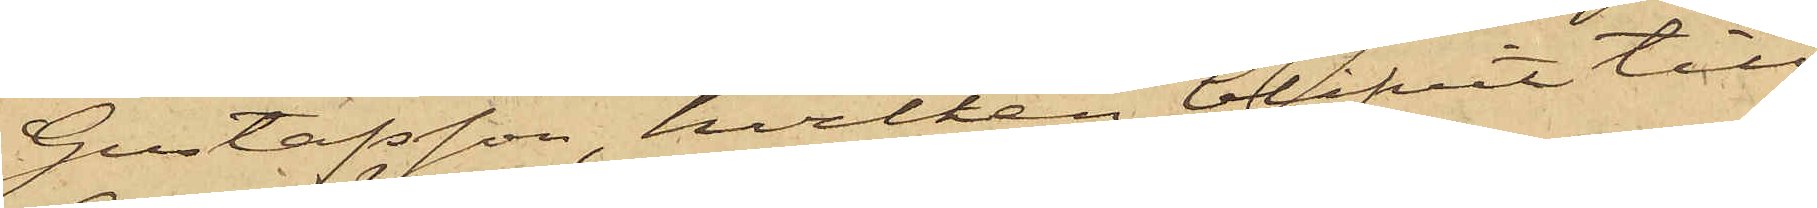Gustafsson, hvilken blifvit till
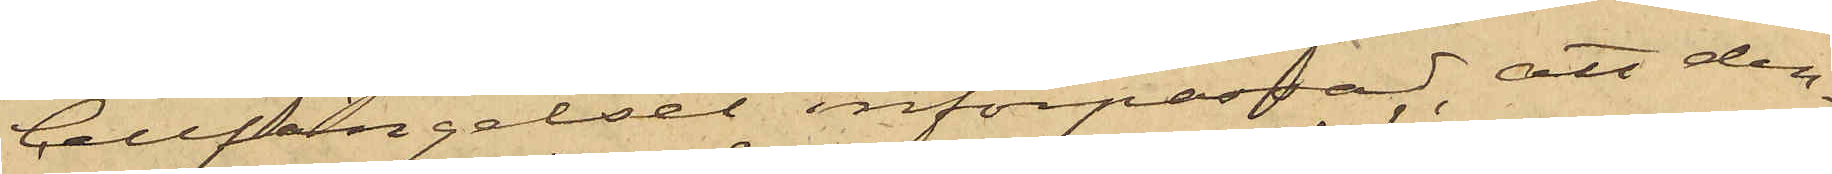Cellfängelset införpassad, att den¬
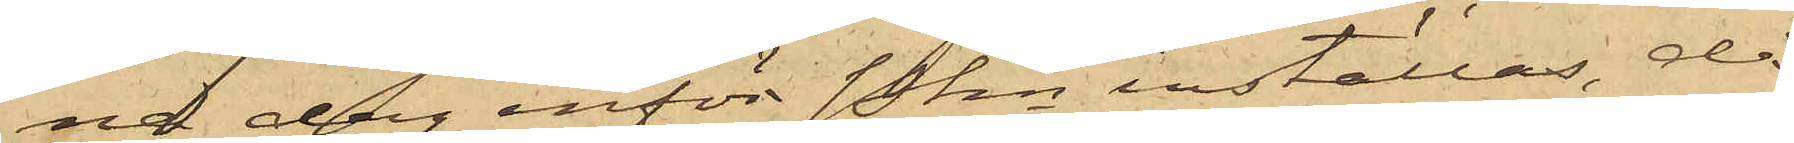na dag inför Pkn inställas, då
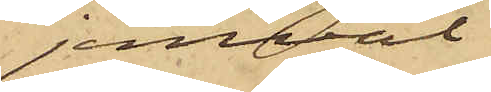jemväl
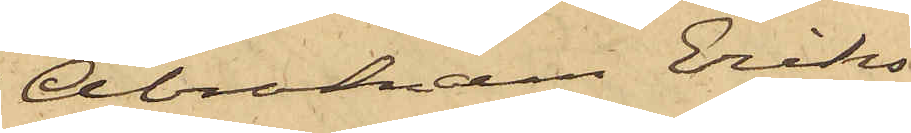Abraham Eriks¬
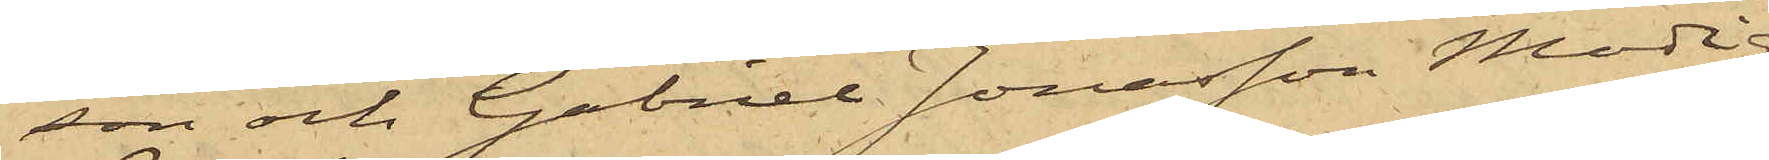son och Gabriel Jonasson Modig
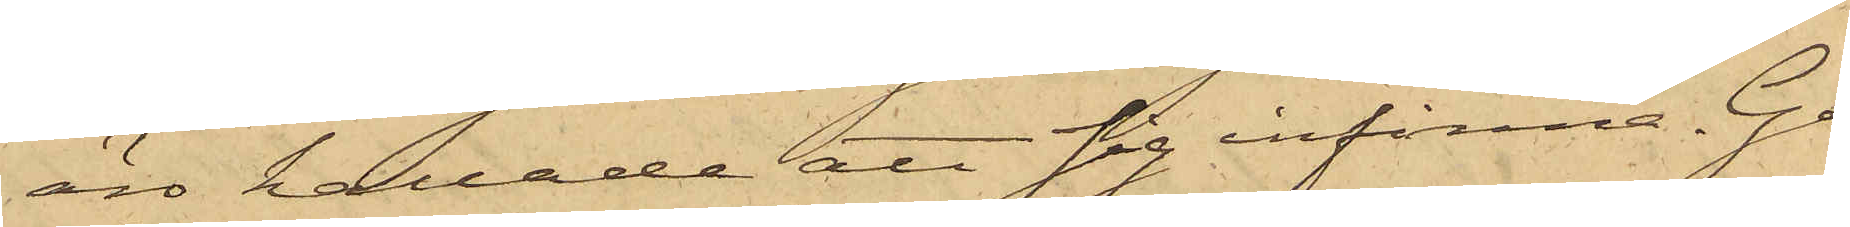äro kallade att sig infinna. Gö¬
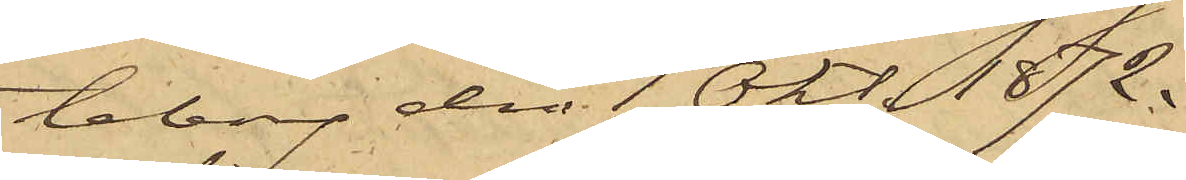teborg den 1 Okt. 1872.
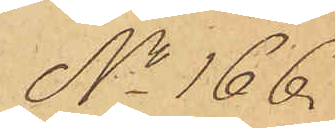No 166.
